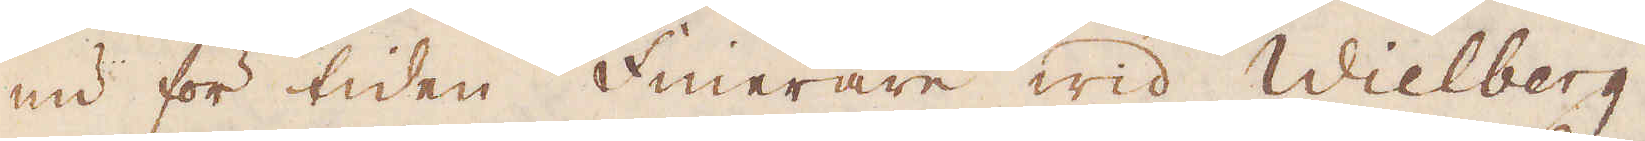nu för tiden Finerare wid Wielberg,
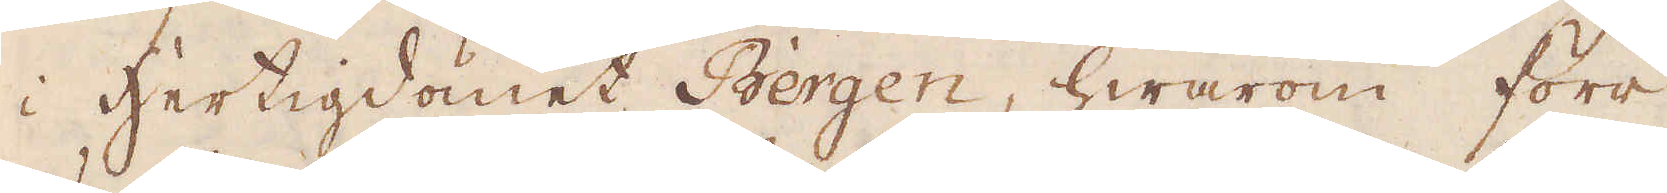i Hertigdömet Bergen, hwarom förr
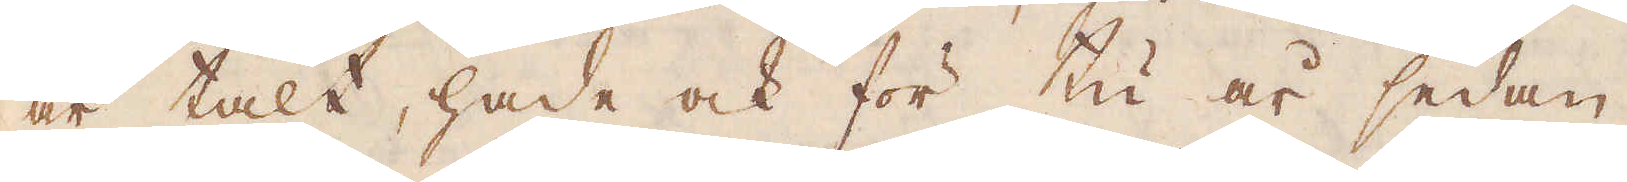är talt, hade ock för tu år sedan
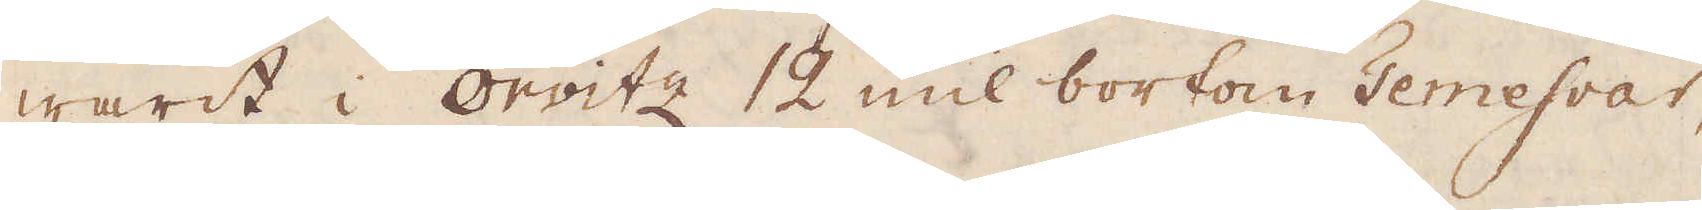warit i Orvitz 12 mil bortom Temesvar,
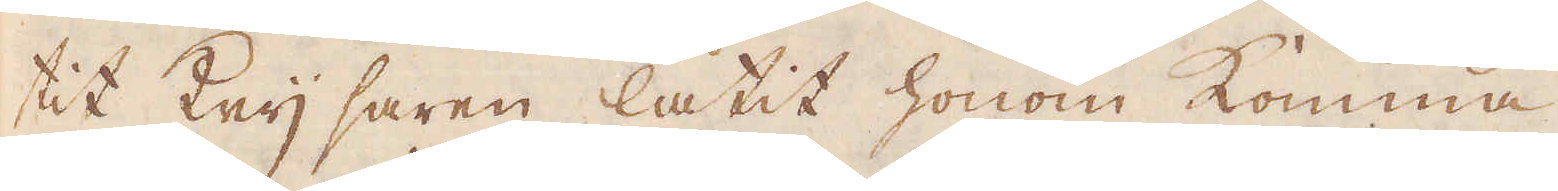tit Keijsaren låtit honom komma.
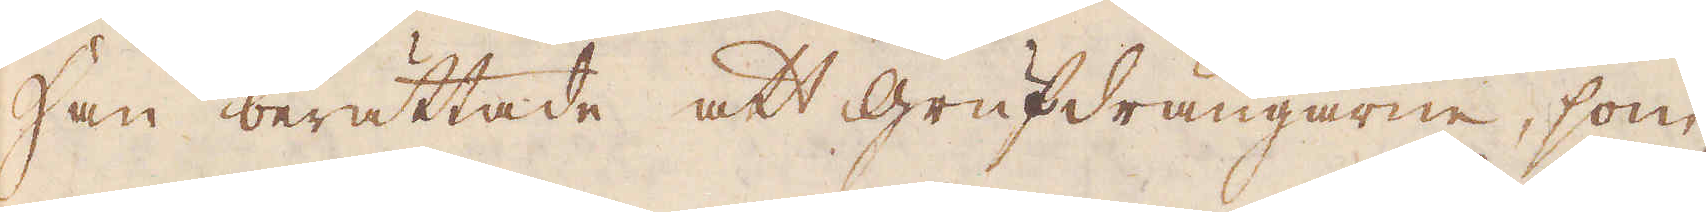Han berättade att grufdrängarne, som
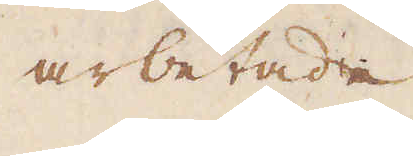arbetade
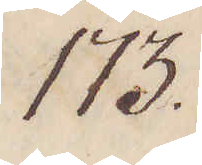173.
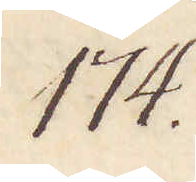174.
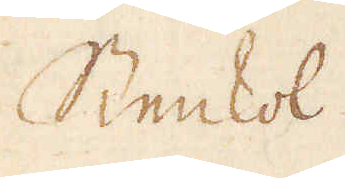Stenkol.
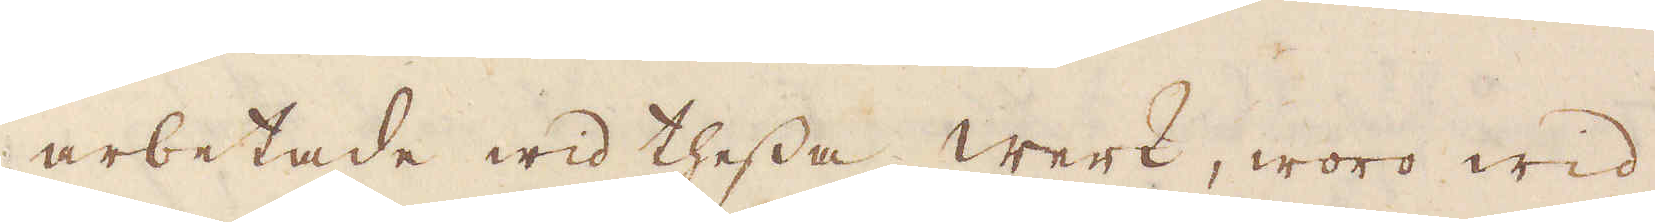arbetade wid thessa werk, woro wid
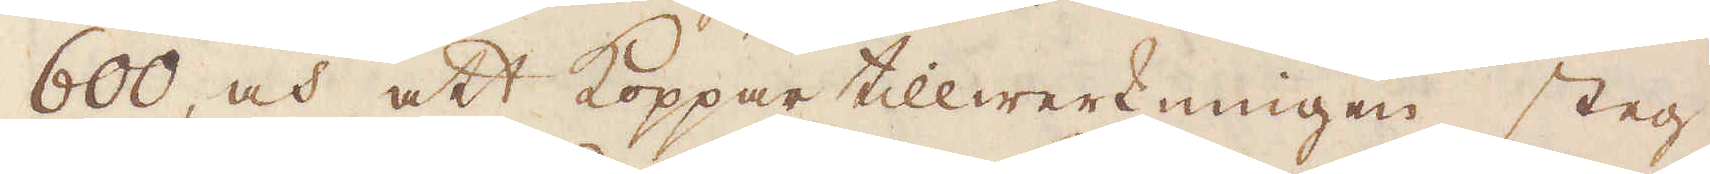600, och att Koppar tillwerkningen steg
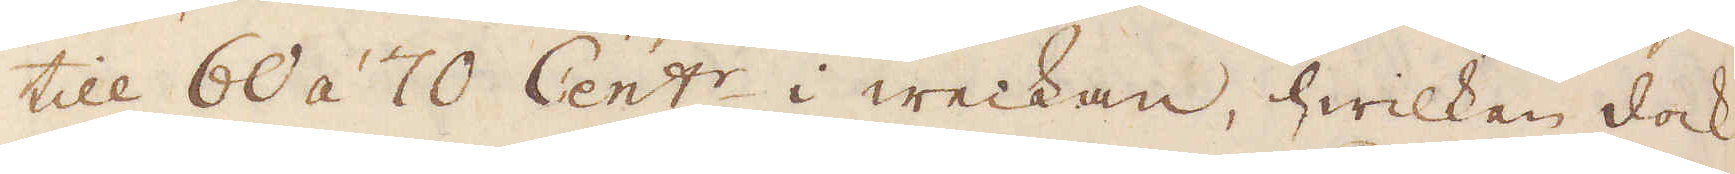till 60 á 70 Cent:r i weckan, hwilken dock
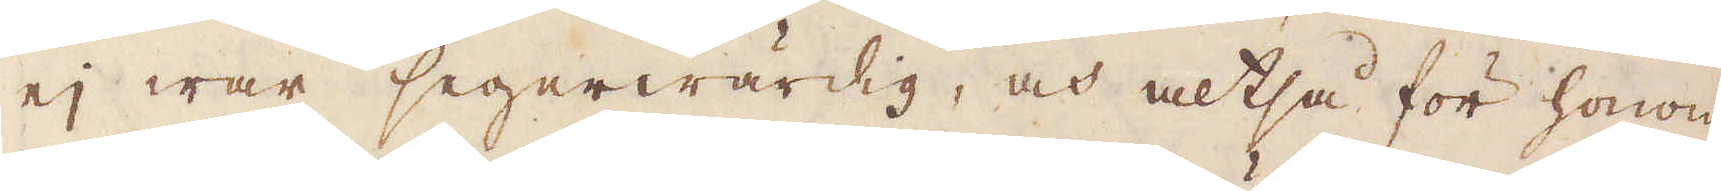ej war segerwärdig, och altså för honom
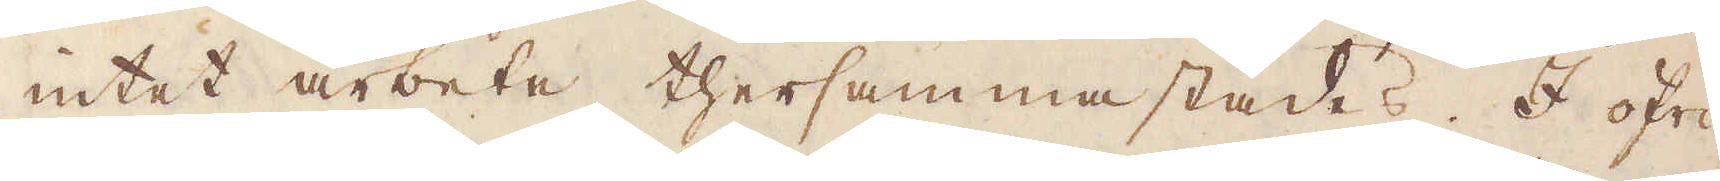intet arbeta thersammastädes. I öfri-
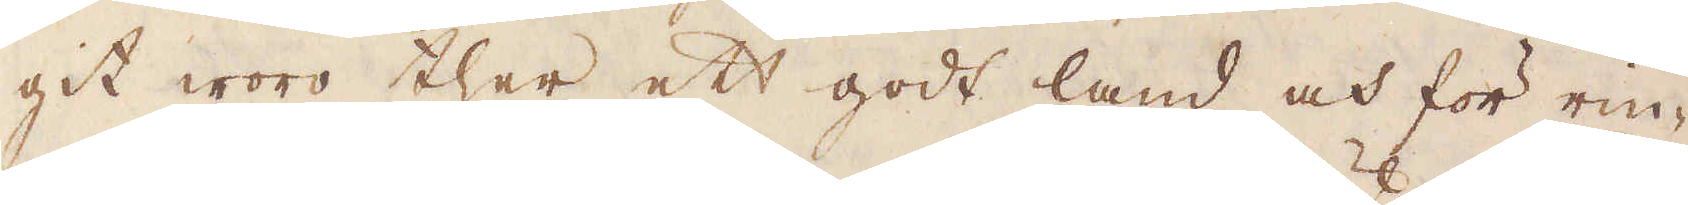git woro ther ett godt land och för rin-
